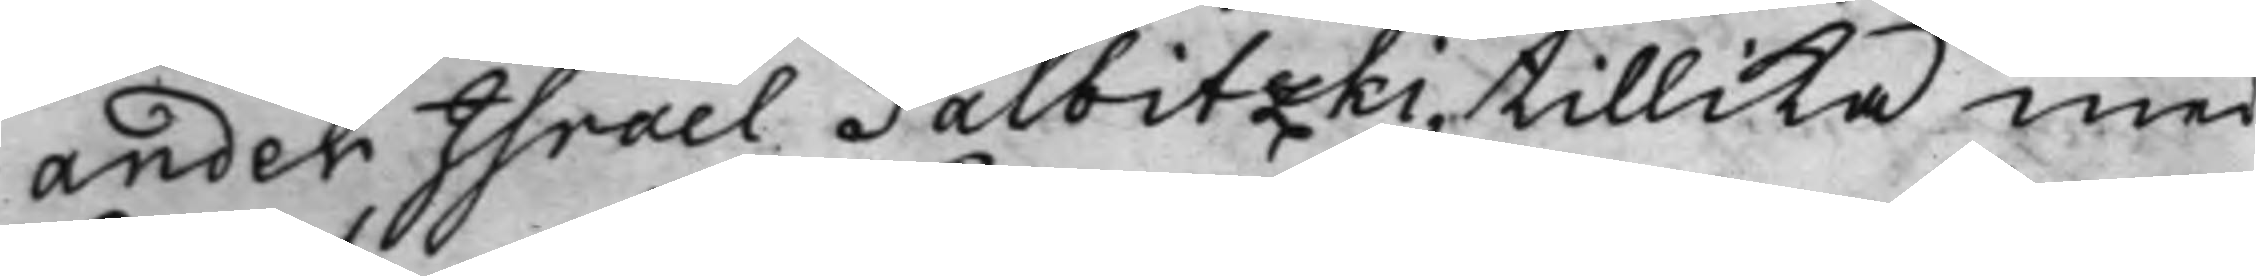ander Israel Palbitzki, tillika med
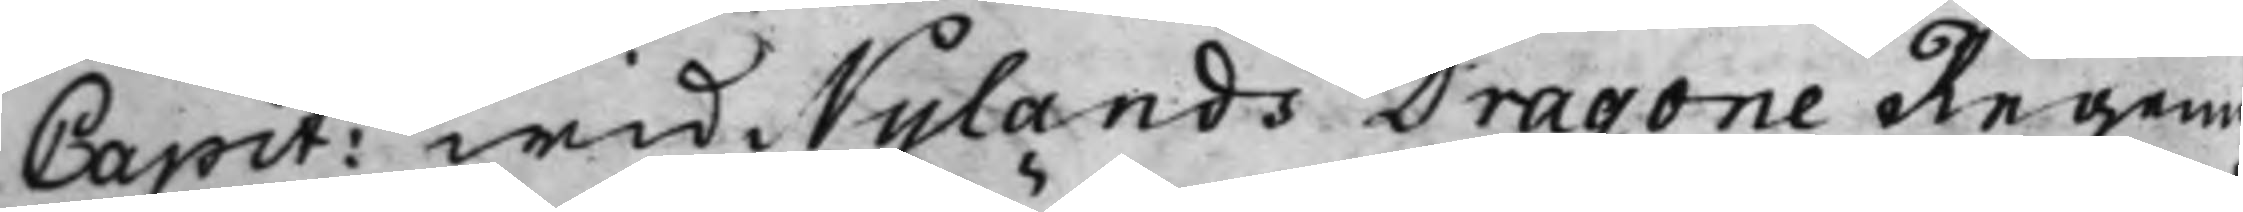Capit: wid Nylands Dragone Regeme¬
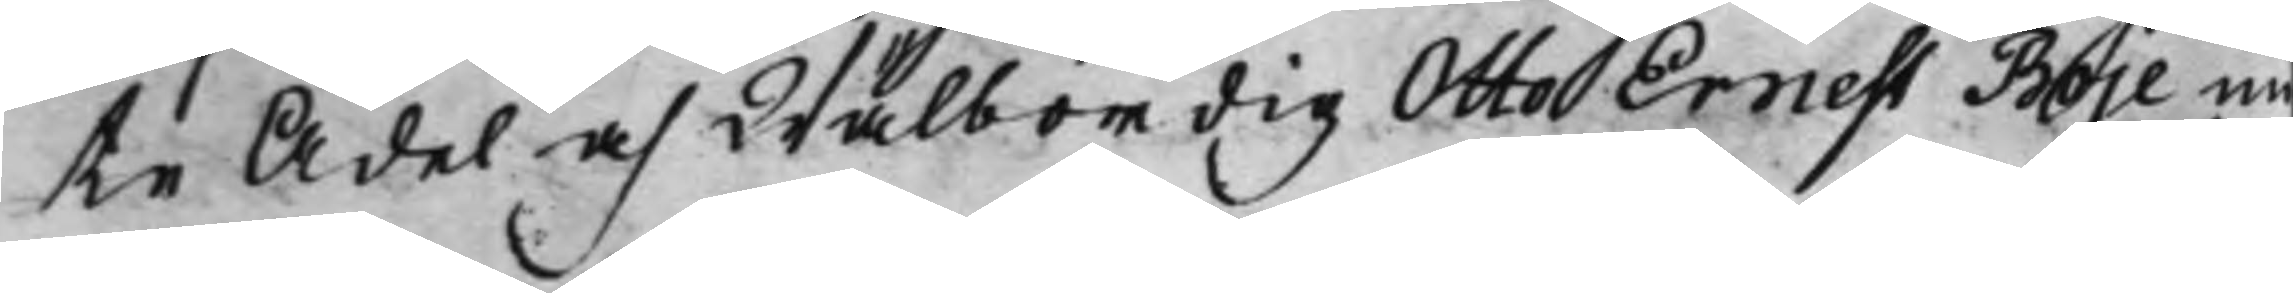te Ädel och Wälbördig Otto Ernest Boje nu
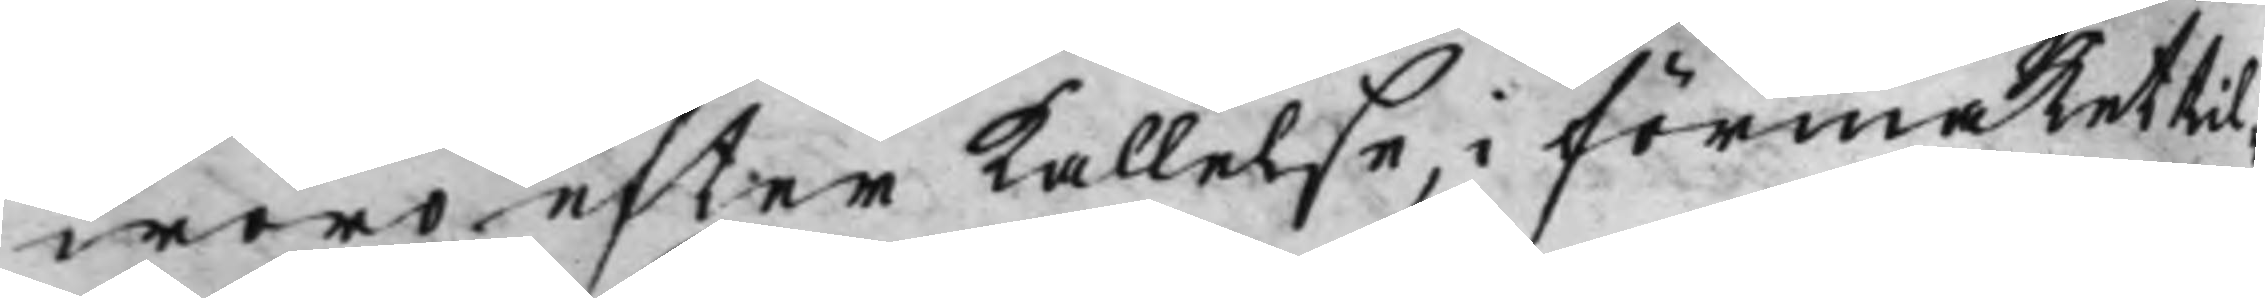woro, efter kallelse, i förmaket til¬
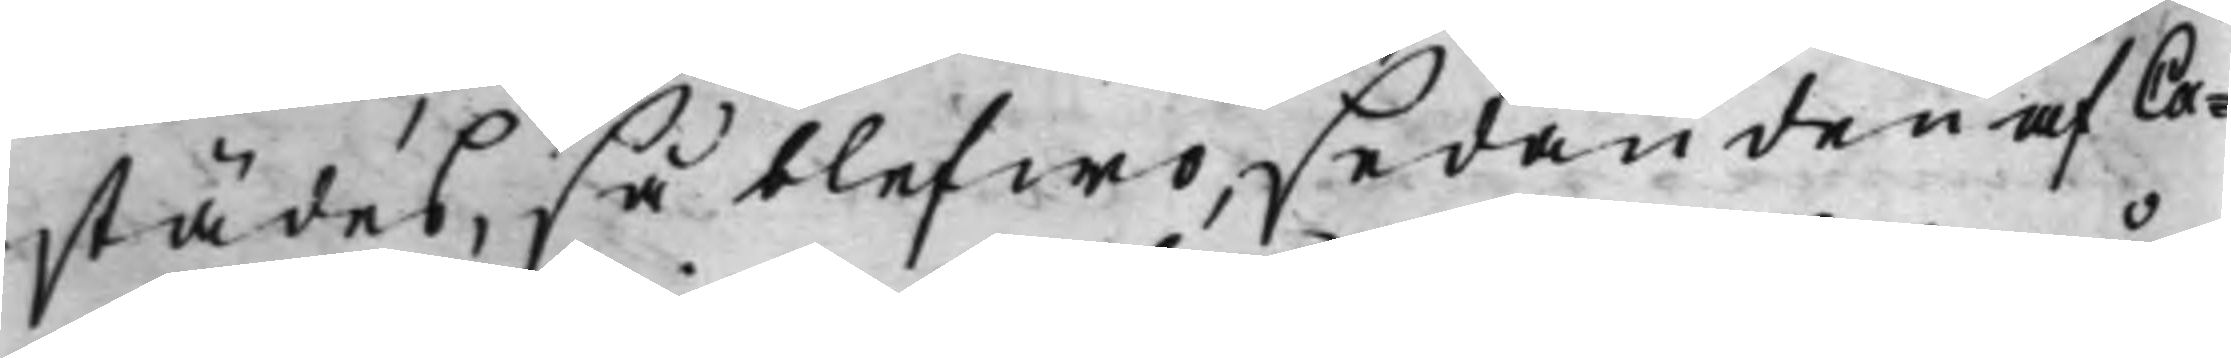städes, så blefwo, sedan den af Ca¬
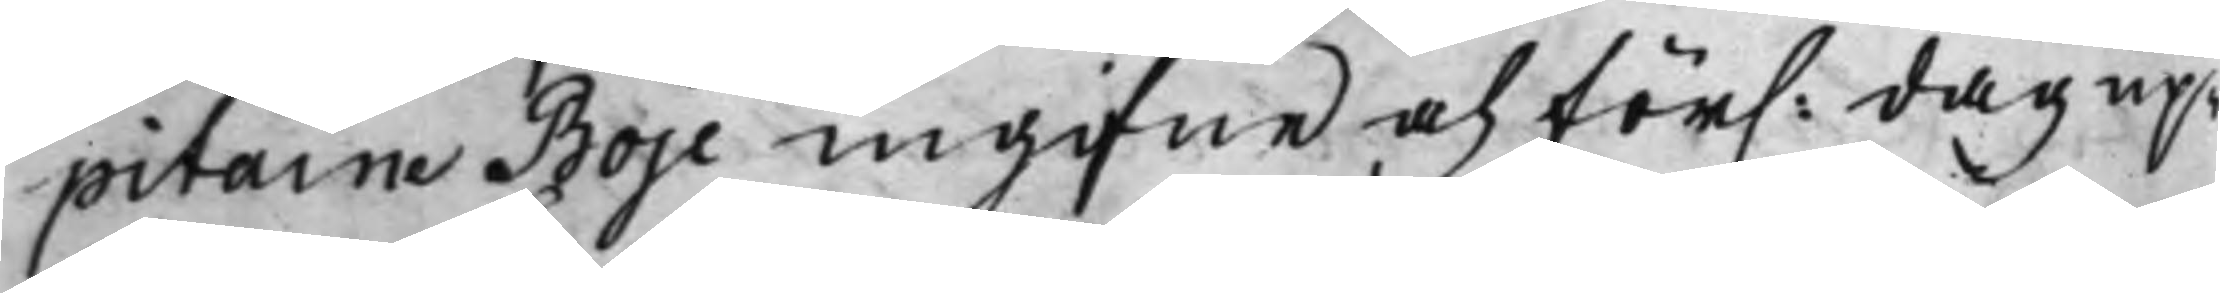pitaine Boje ingifne och för. dag up¬
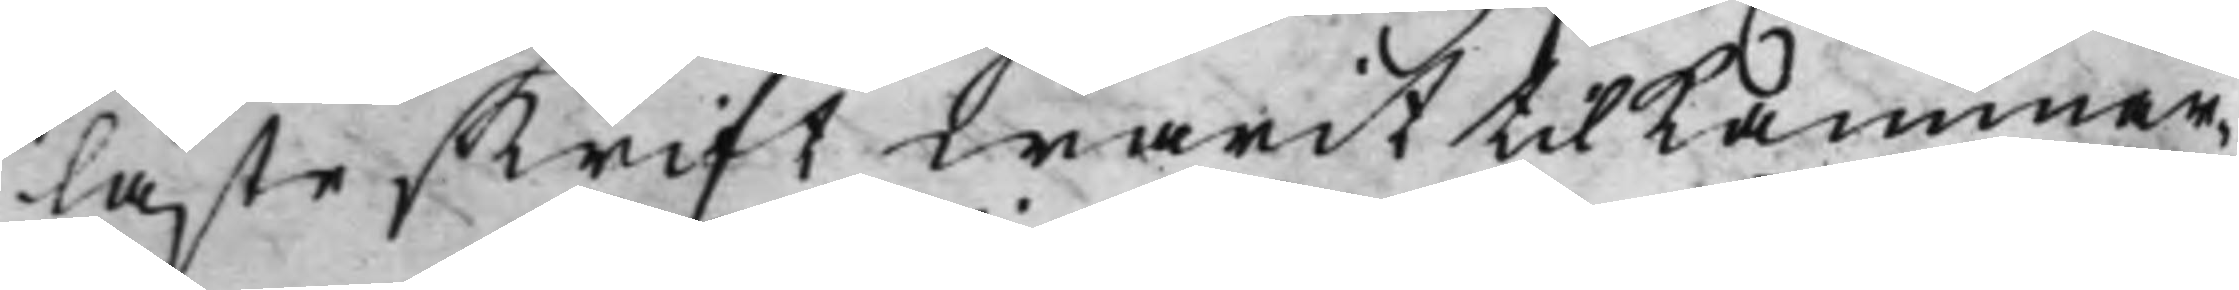läste skrift warit til Kammar¬
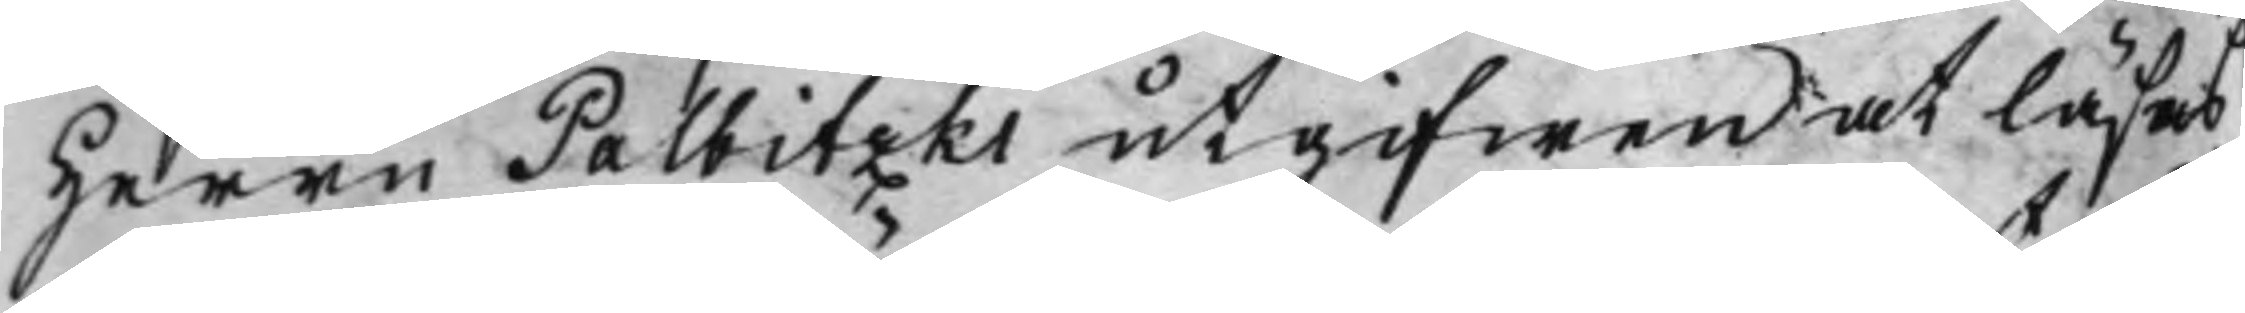Herrn Palbitzki utgifwen at läsas
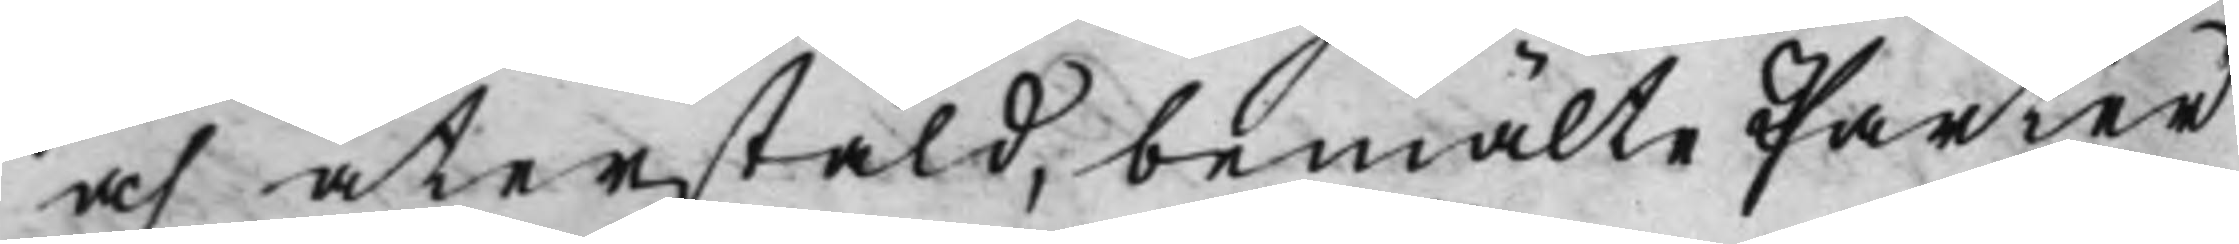och återstäld, bemälte Parter
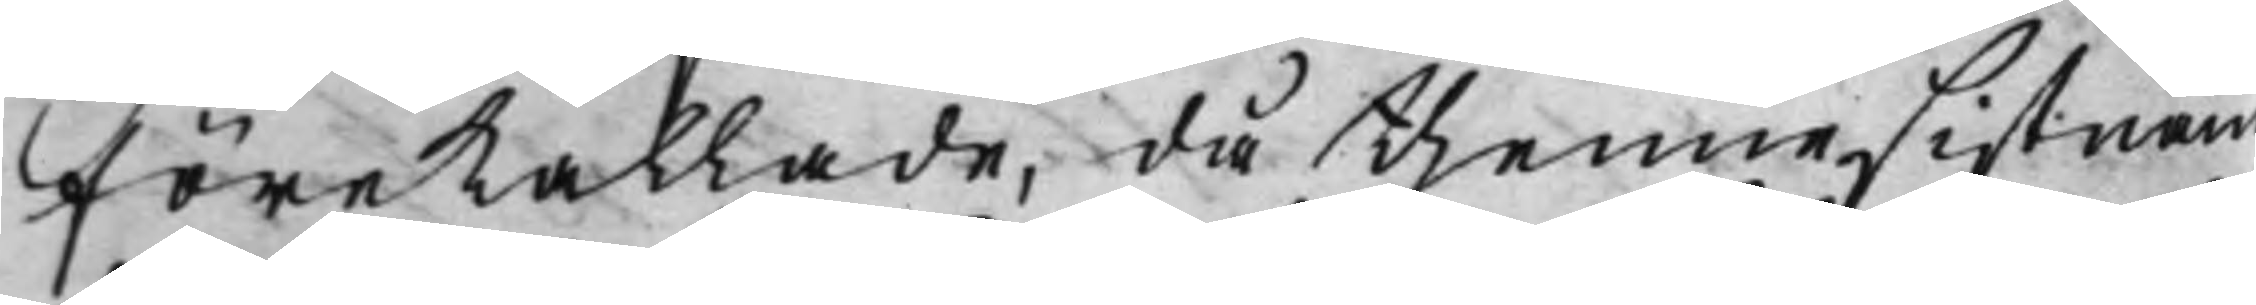förekallade, då thenne sistnäm¬
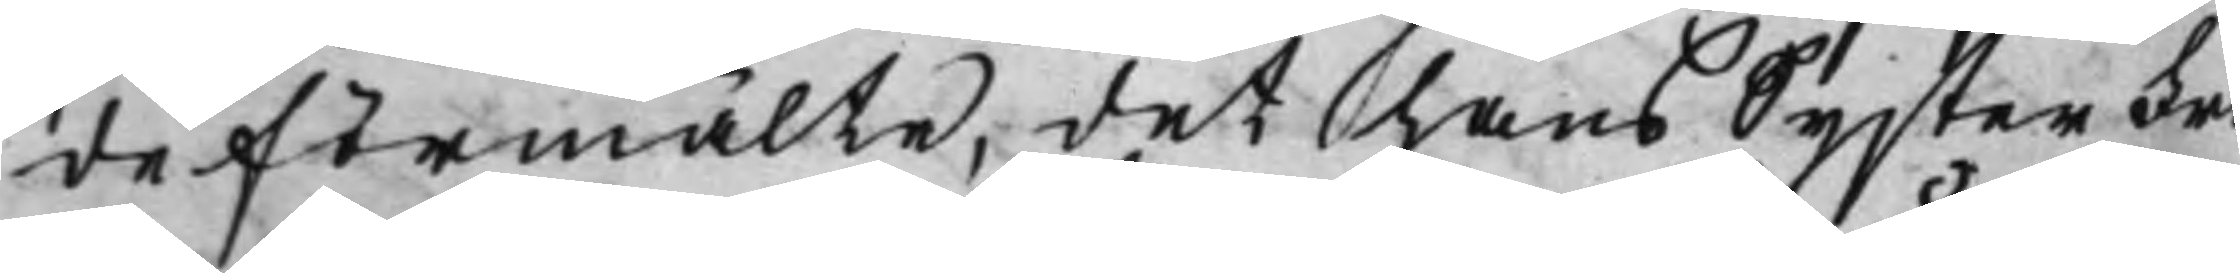de förmälte, det hans Syster Fri¬
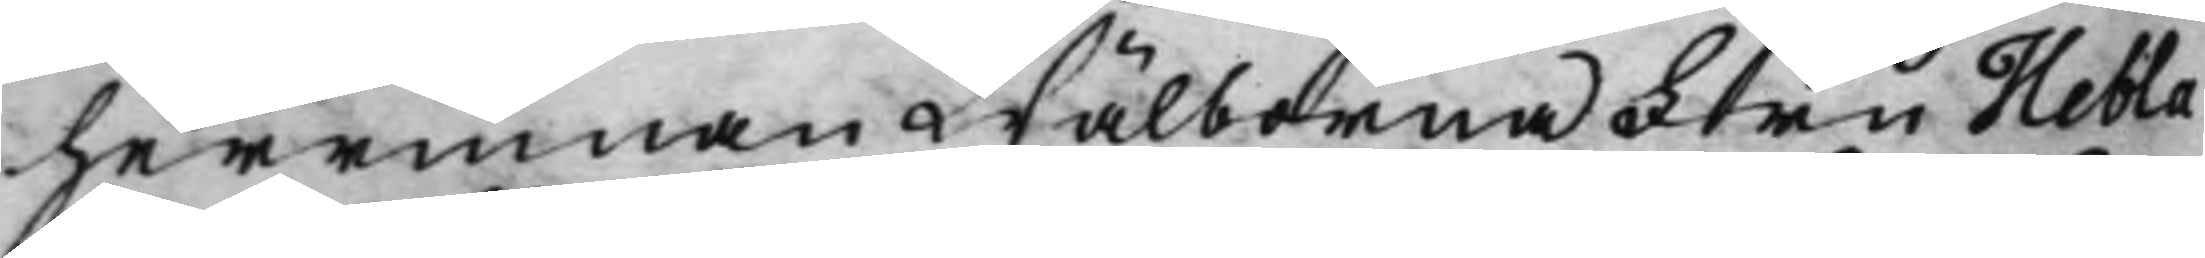herrinnan Wälborna Fru Hebla
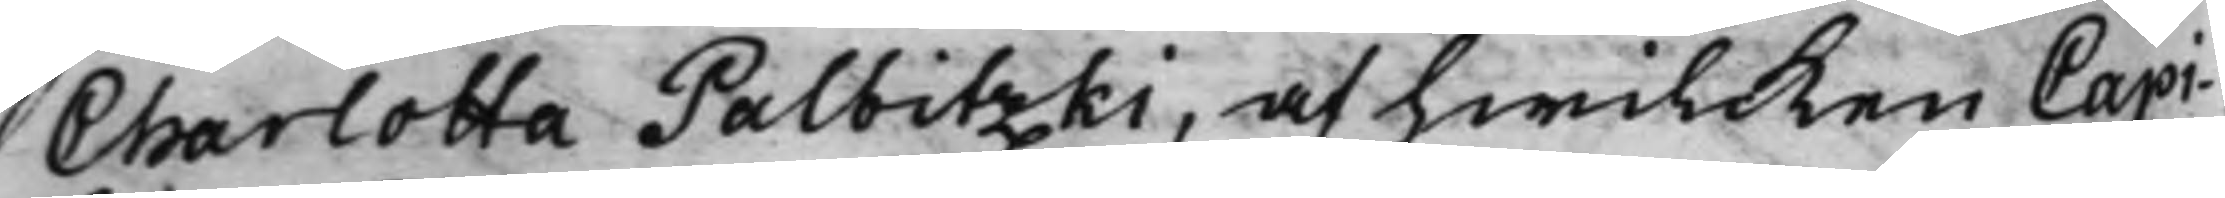Charlotta Palbitzki, af hwilcken Capi¬
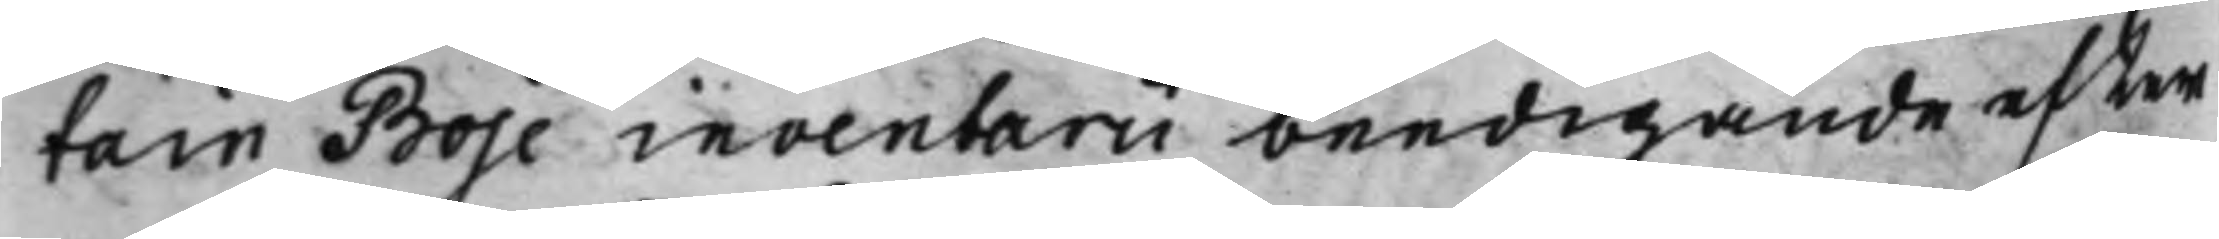tain Boje inventarii beedigande efter
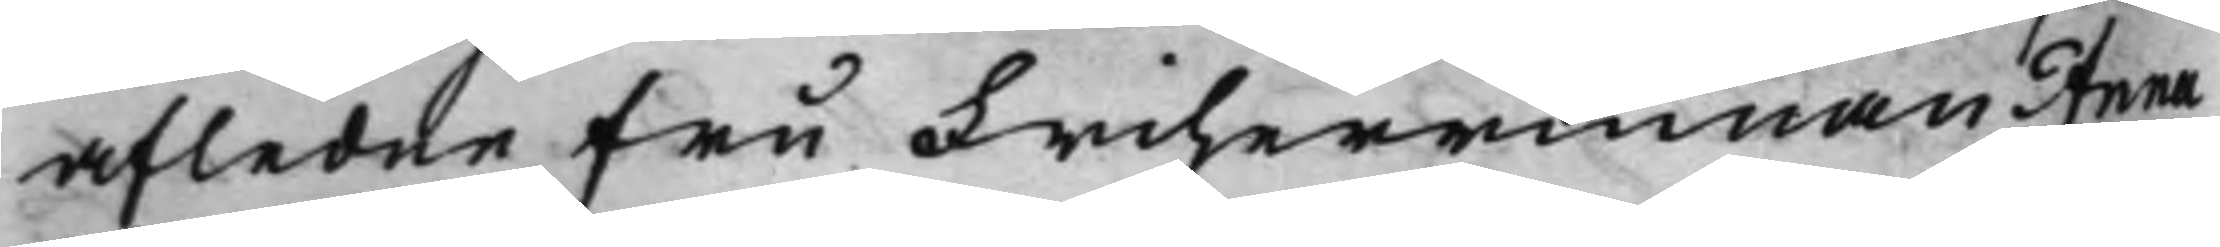afledne fru Friherrinnan Anna
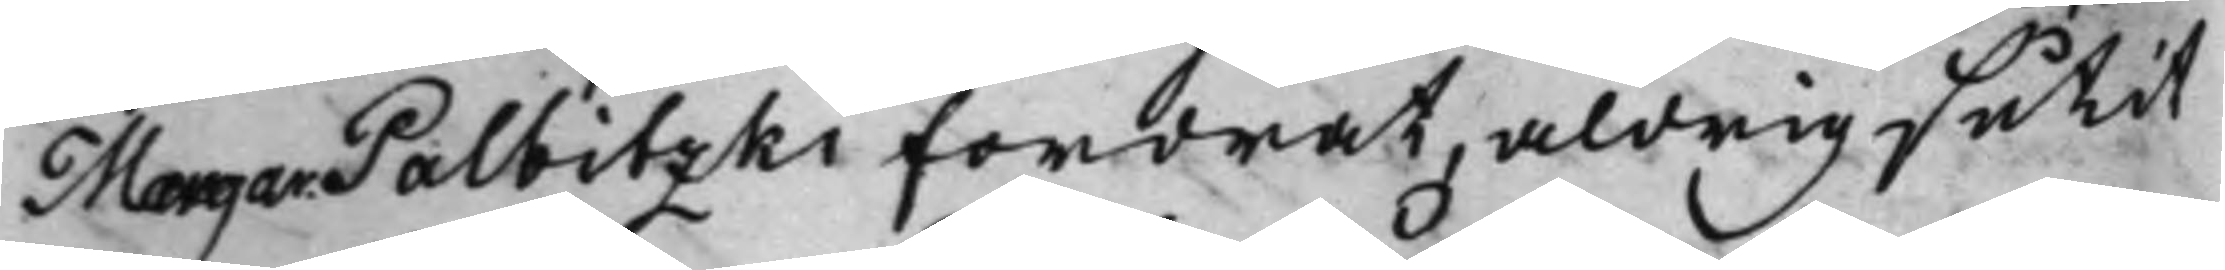Margar. Palbitzki fordrat, aldrig sutit
